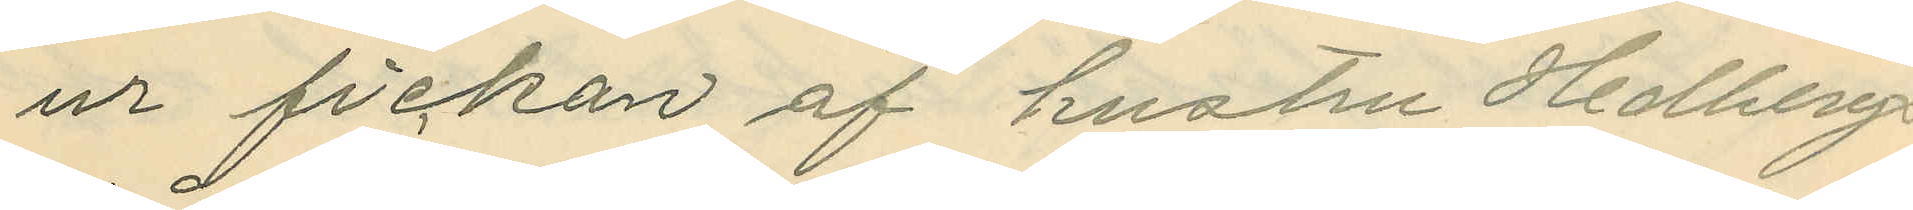ur fickan af hustru Hedbergs
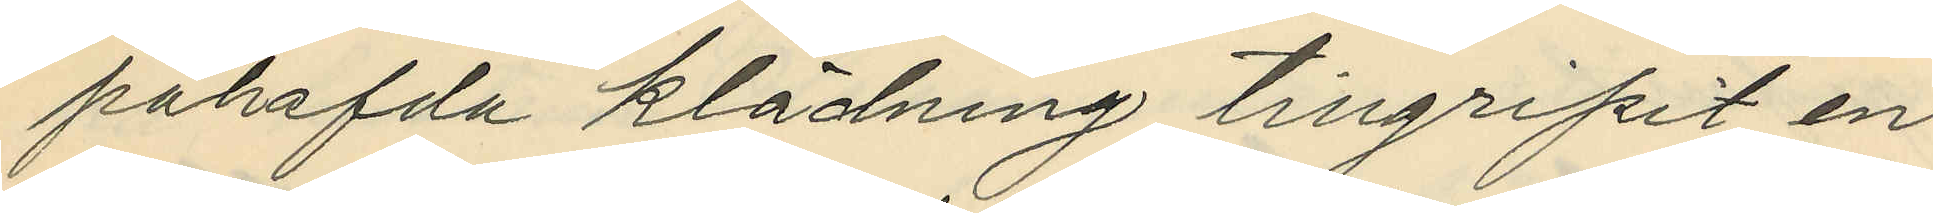påhafda klädning tillgripit en
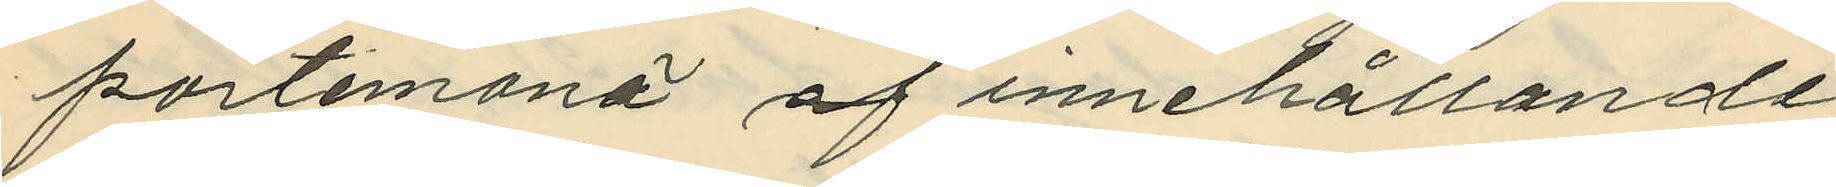portemonä af innehållande
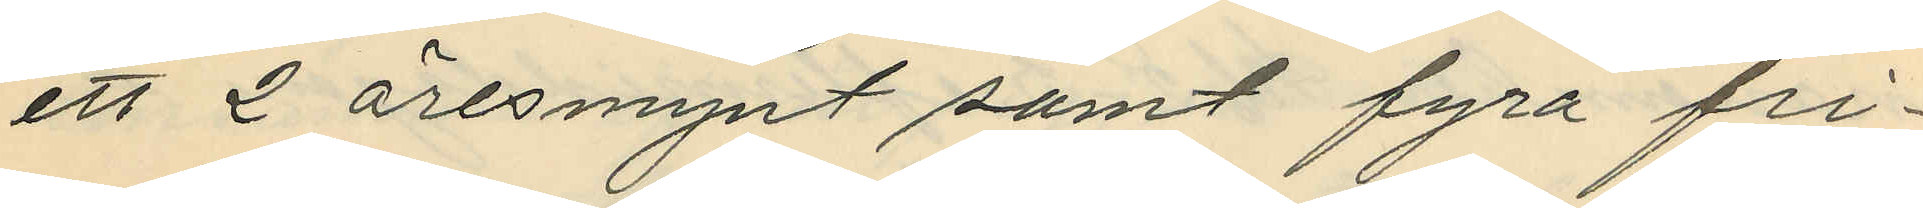ett 2 öresmynt samt fyra fri¬
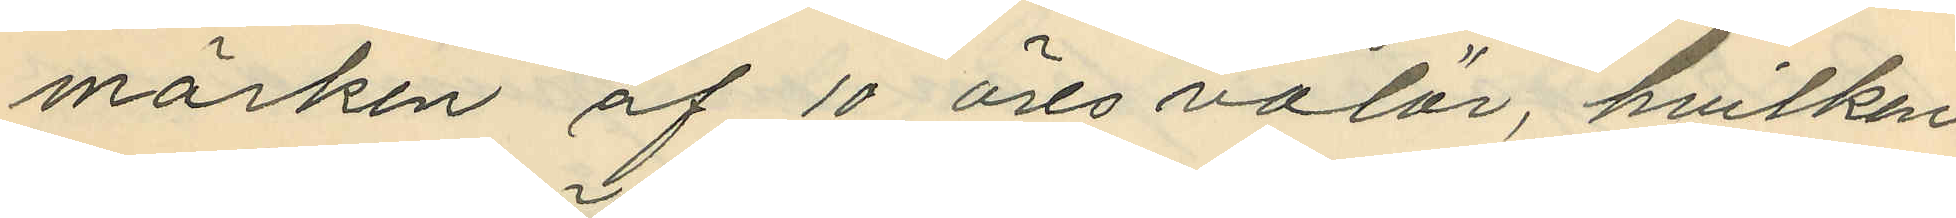märken af 10 öres valör, hvilken
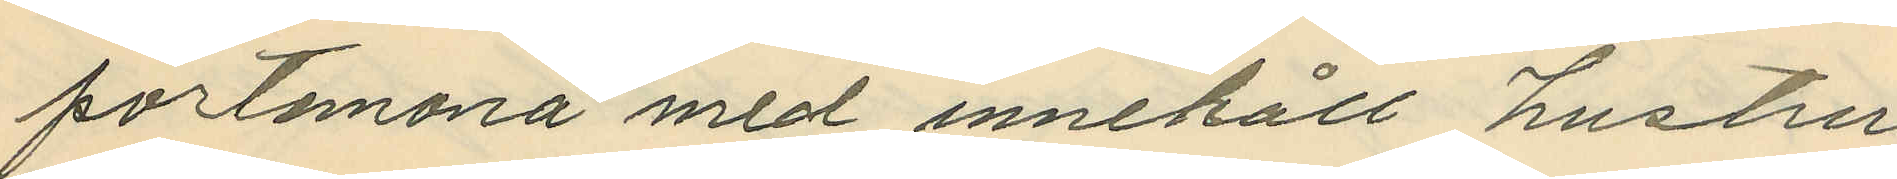portemonä med innehåll hustru
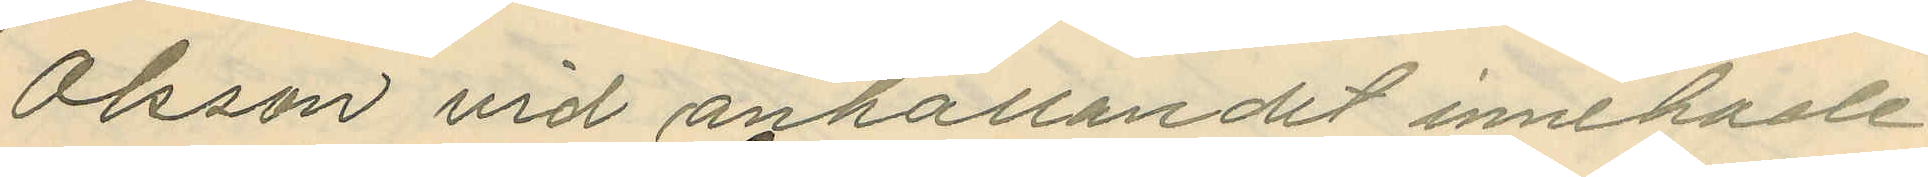Olsson vid anhållandet innehade.
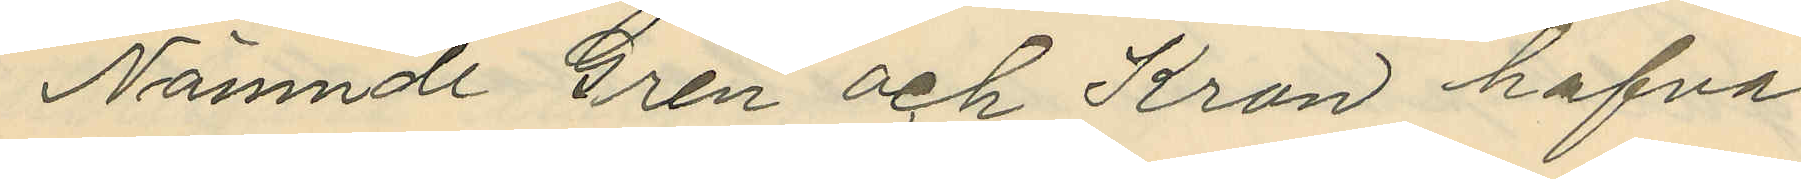Nämnde Gren och Kron hafva
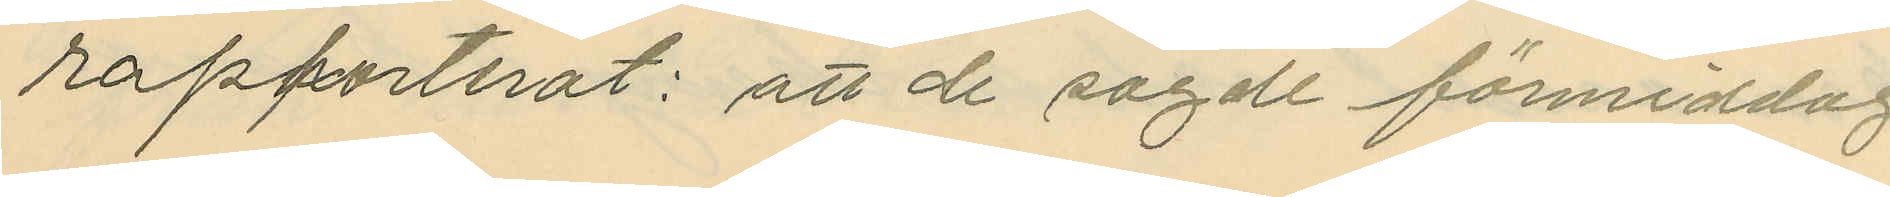rapporterat: att de sagde förmiddag
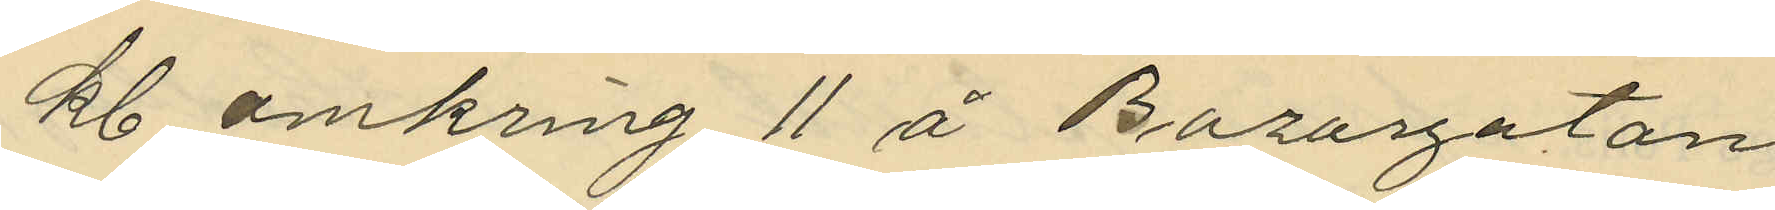kl. omkring 11 å Bazargatan
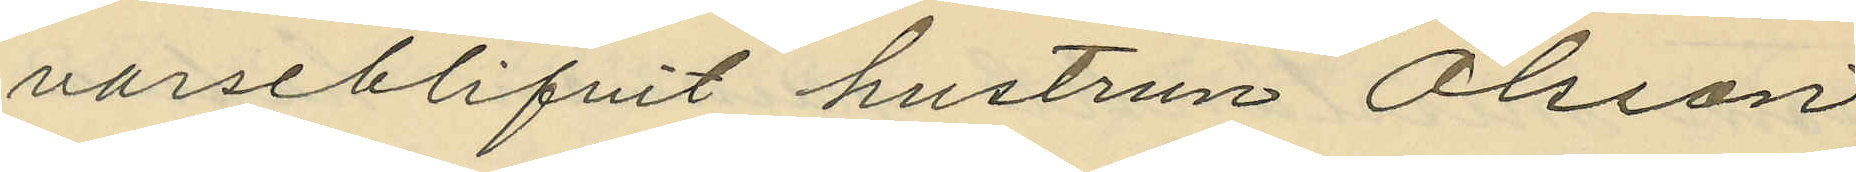varseblifvit hustrun Olsson
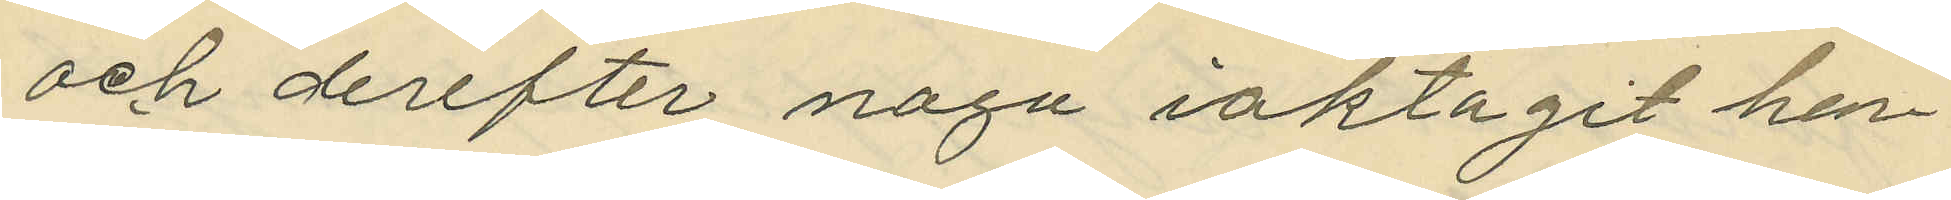och derefter noga iaktagit hen¬
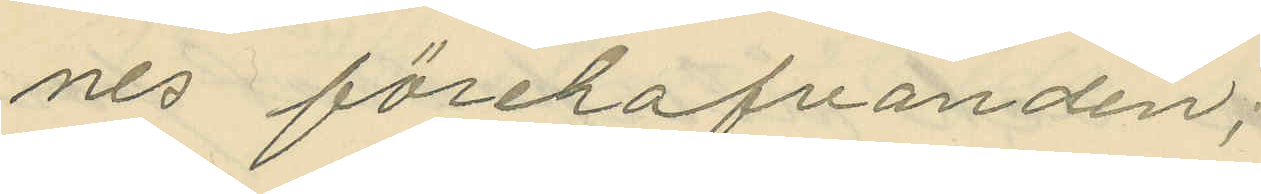nes förehafvanden;
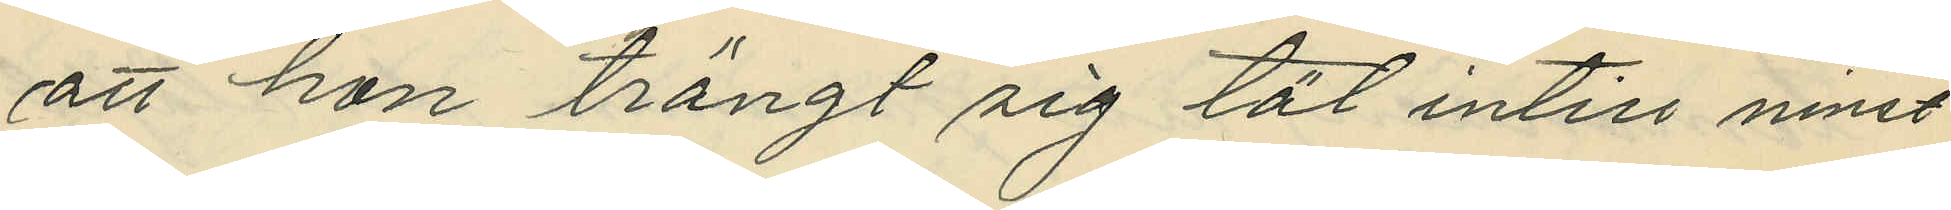att hon trängt sig tät intill ninst
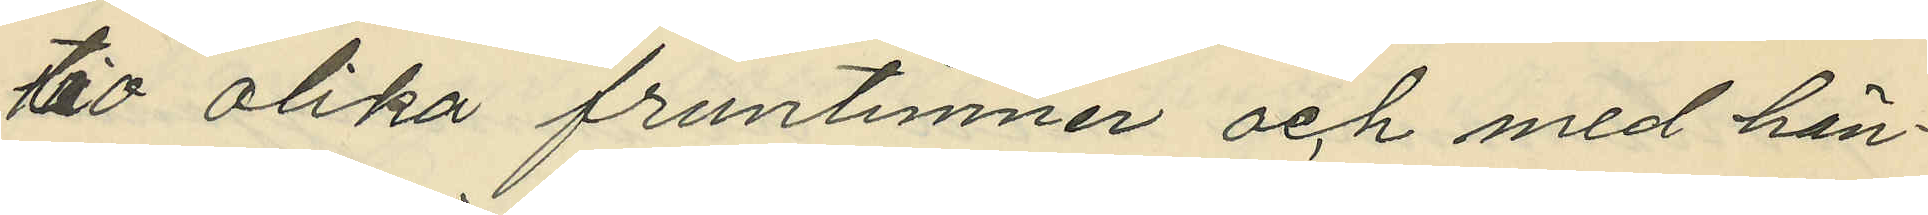tio olika fruntimner och med hän¬
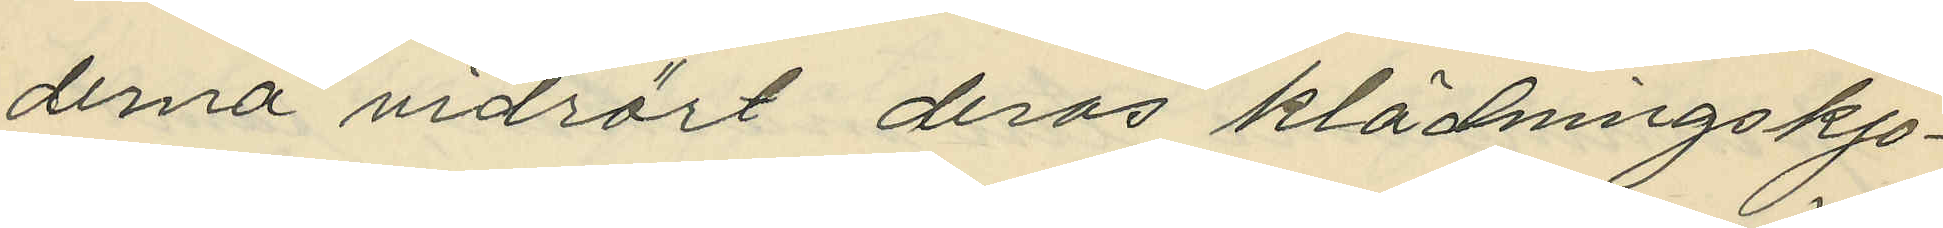derna vidrört deras klädningskjo¬
